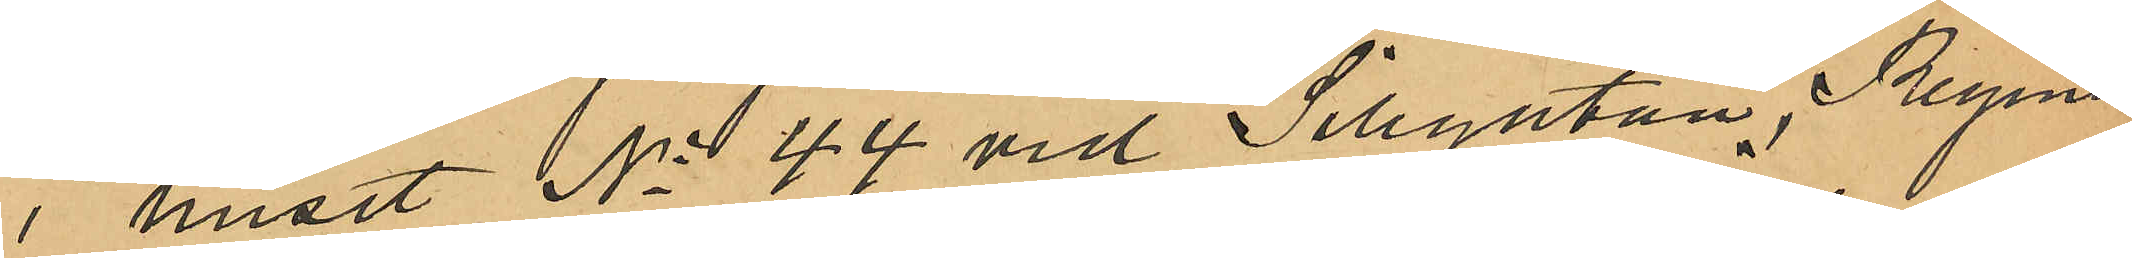i huset No 44 vid Sillgatan, Regina
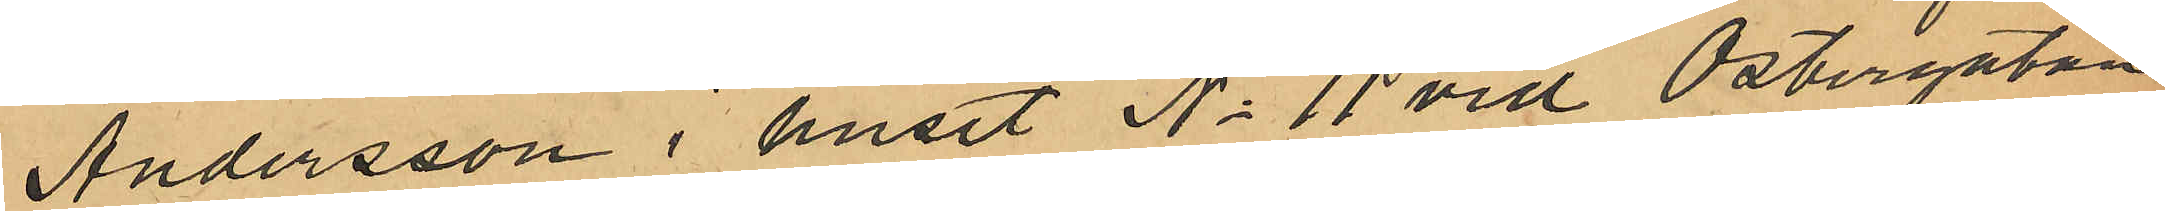Andersson i huset No 11 vid Östergatan,
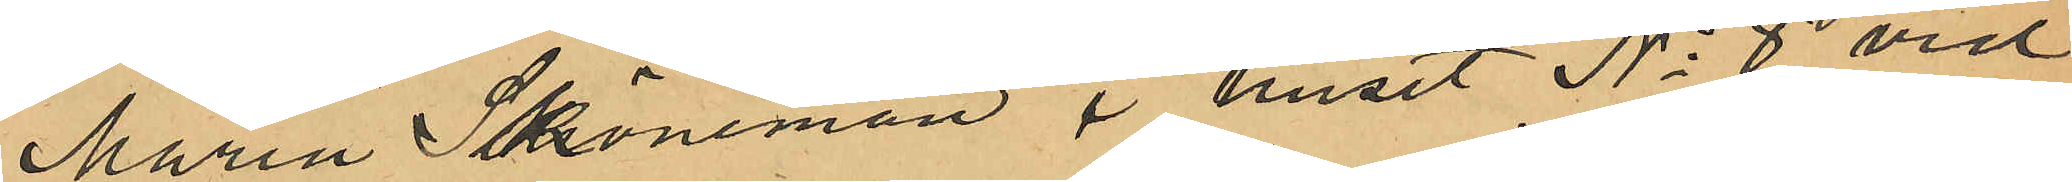Maria Schöneman i huset No 8 vid
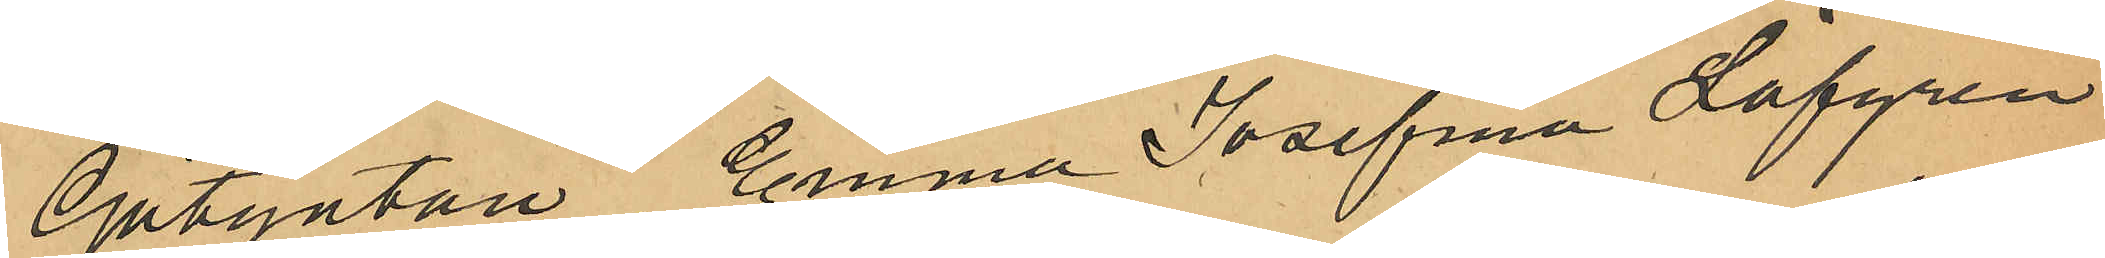Götgatan, Emma Josefina Löfgren
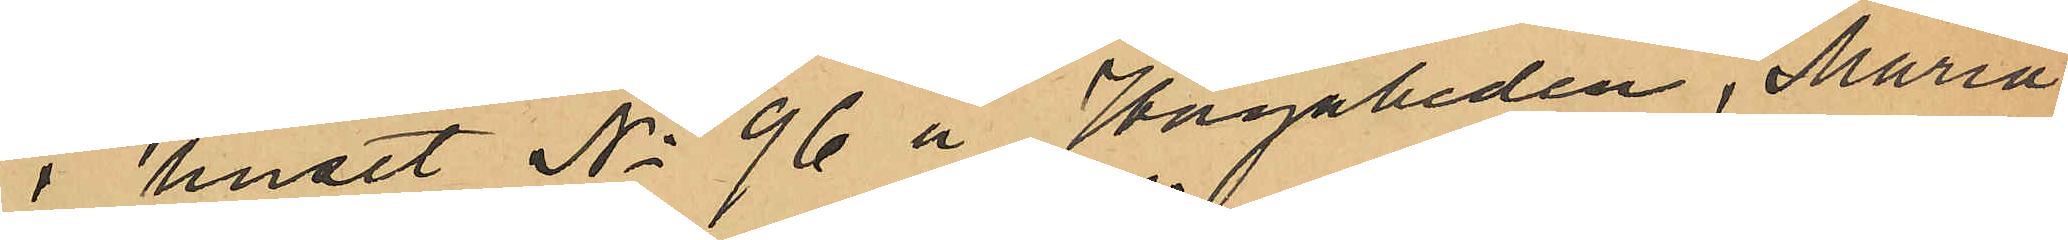i huset No 96 å Hagaheden, Maria
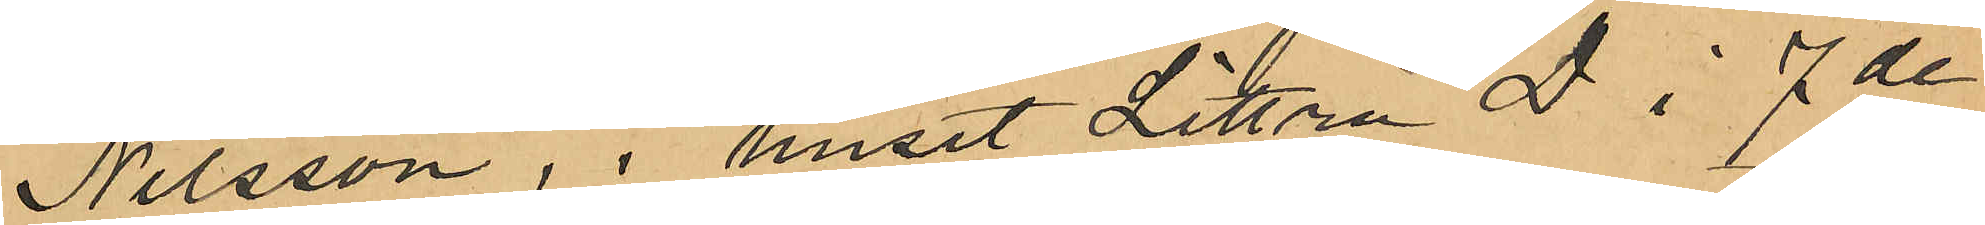Nilsson, i huset Littra D i 7de
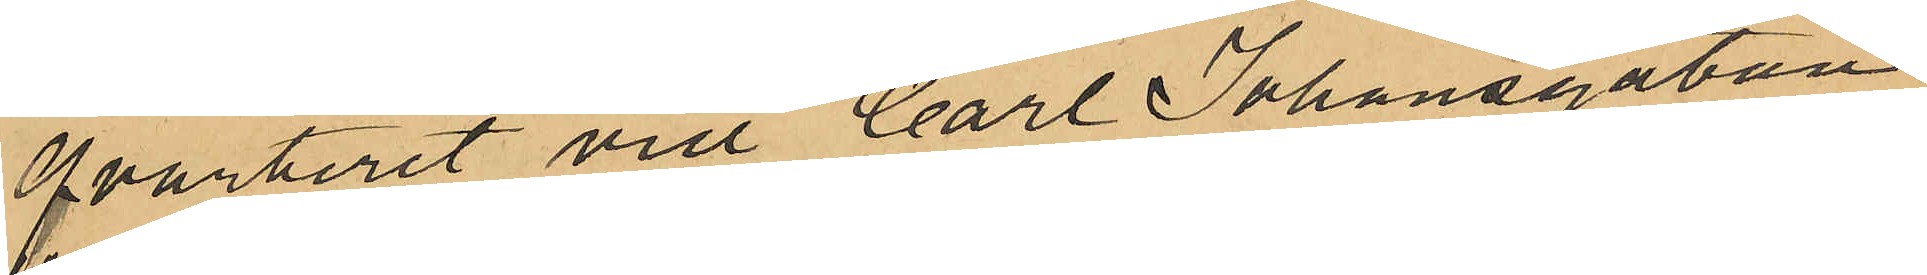qvarteret vid Carl Johansgatan,
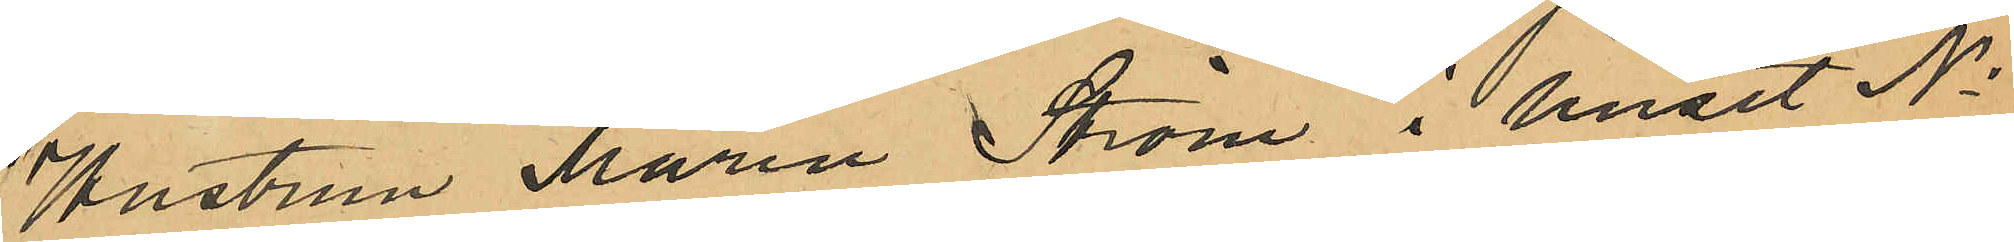Hustrun Maria Ström i huset No
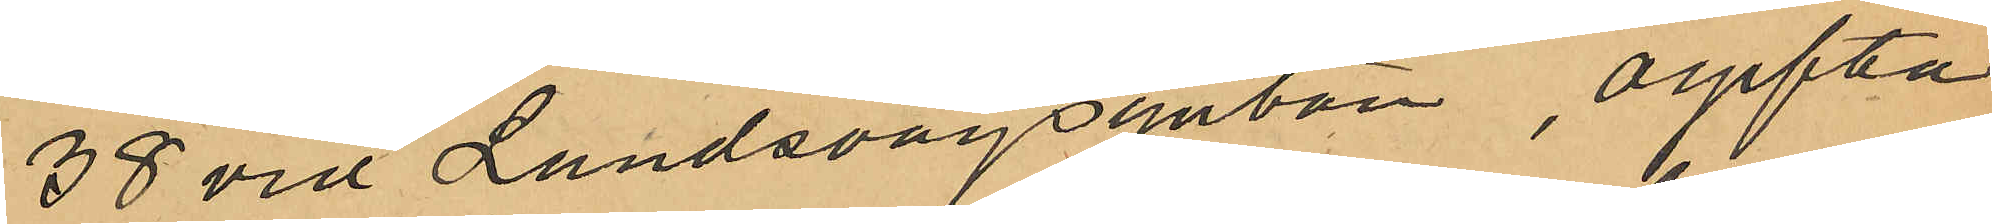38 vid Landsvägsgatan, ogifta
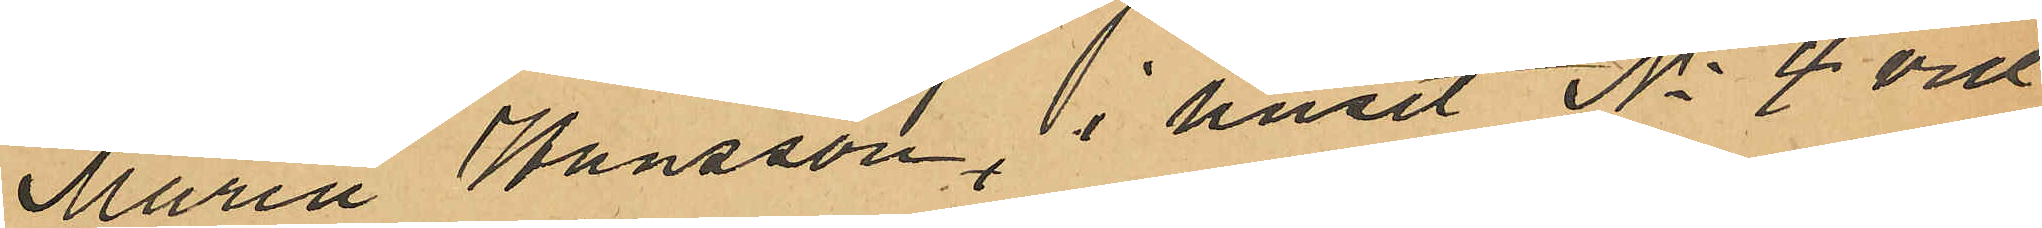Maria Hansson i huset No 4 vid
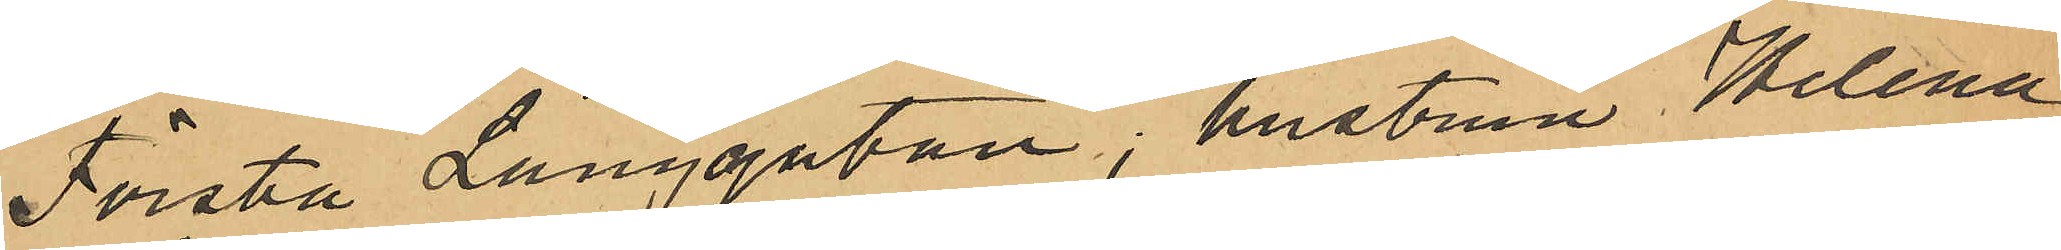Första Långgatan, hustrun Helena
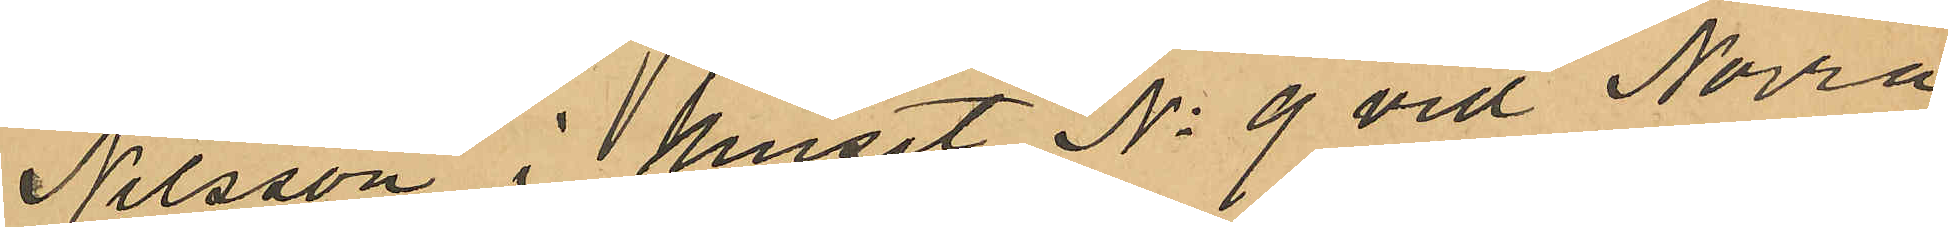Nilsson i huset No 9 vid Norra
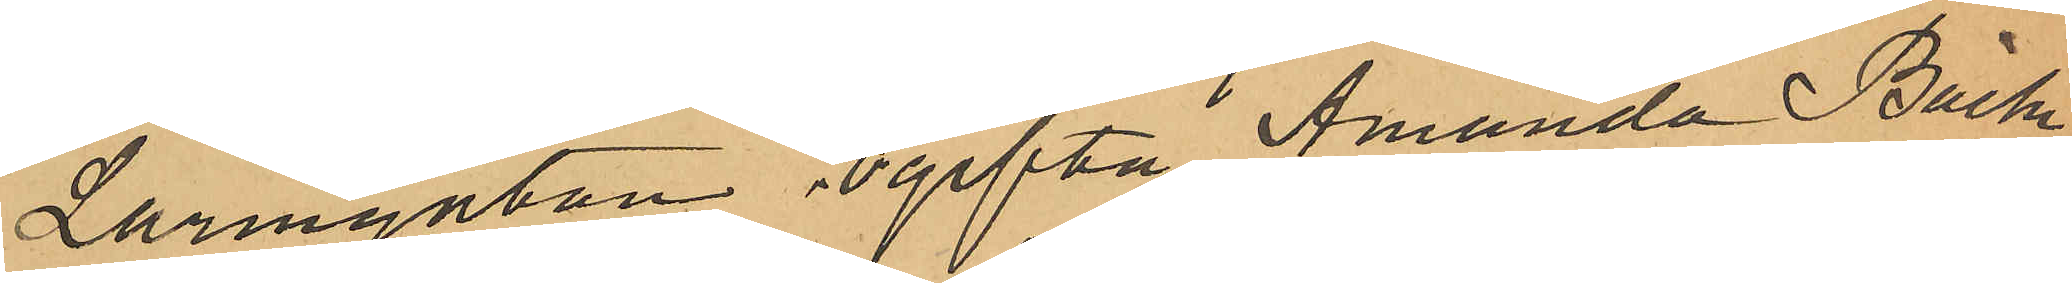Larmgatan, ogifta Amanda Bäck¬
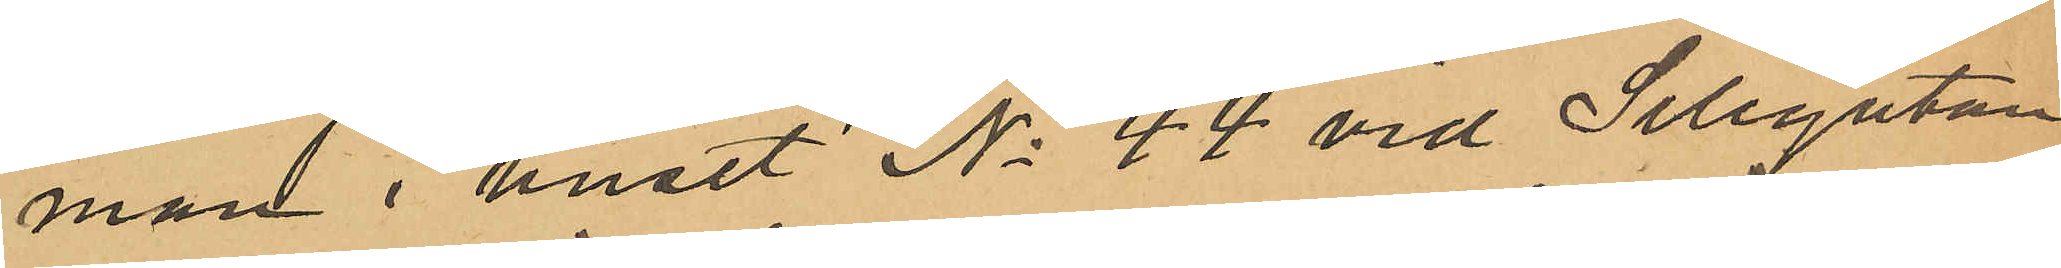man i huset No 44 vid Sillgatan
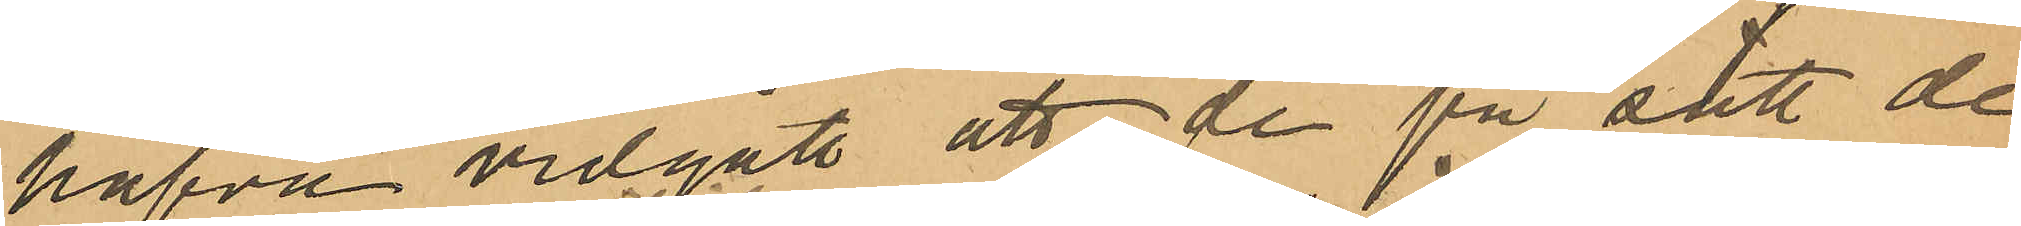hafva vidgått att de på sätt de
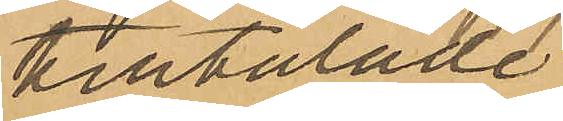tilltalade
